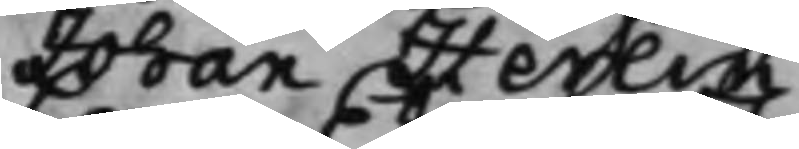Johan Herlin.
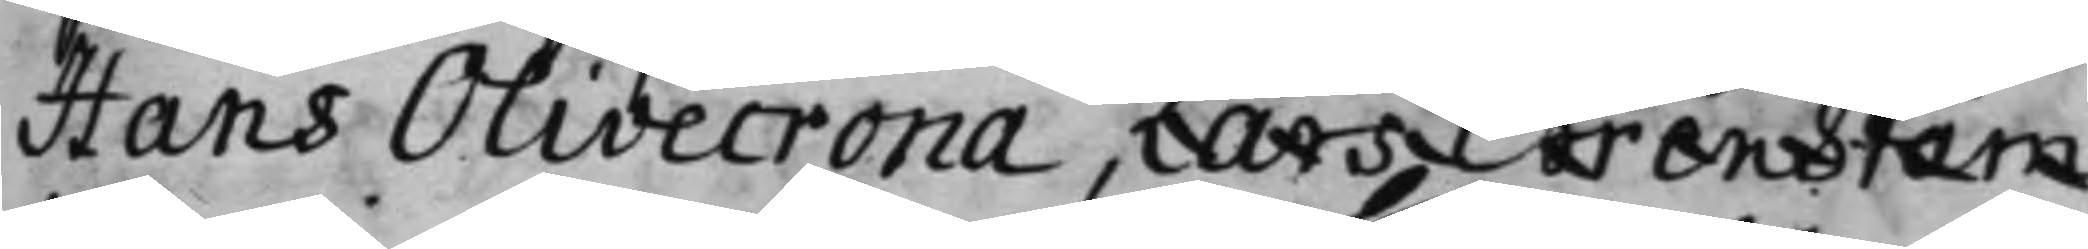Hans Olivecrona, Lars Ehrenstam
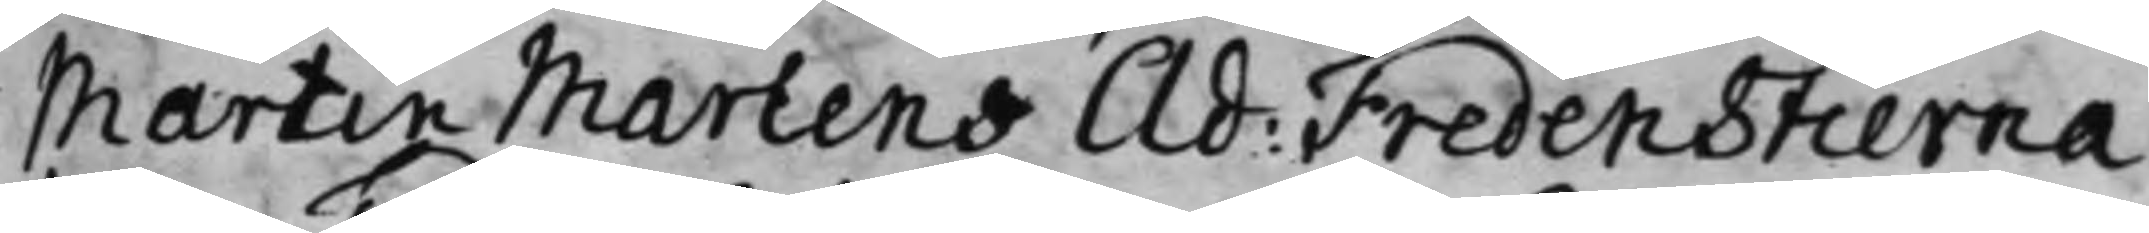Martin Martens Ad: Fredenstierna
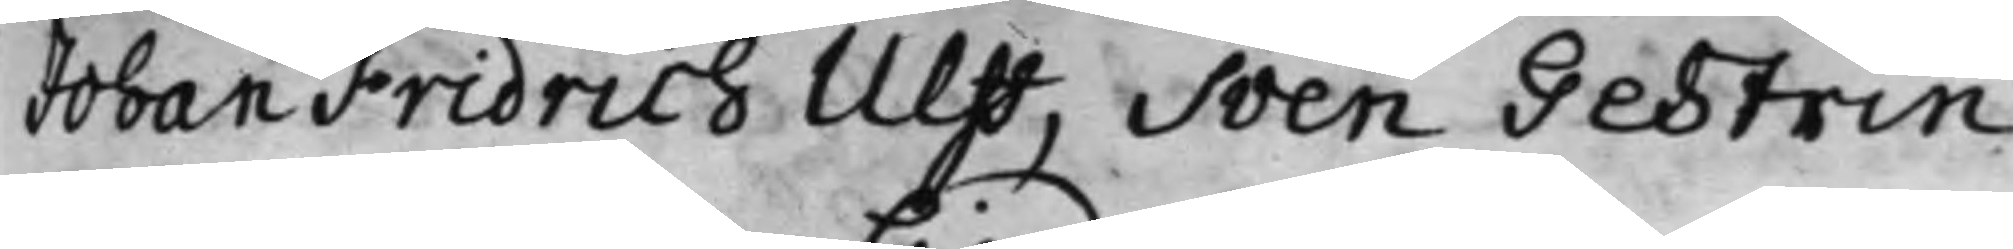Johan Fridrich Ulff, Sven Gestrin
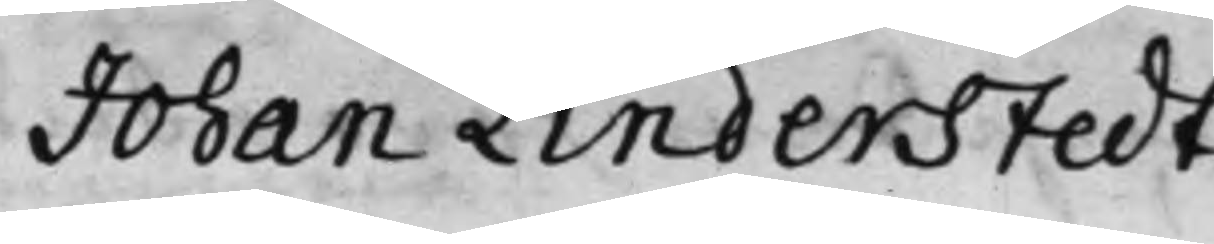Johan Linderstedt.
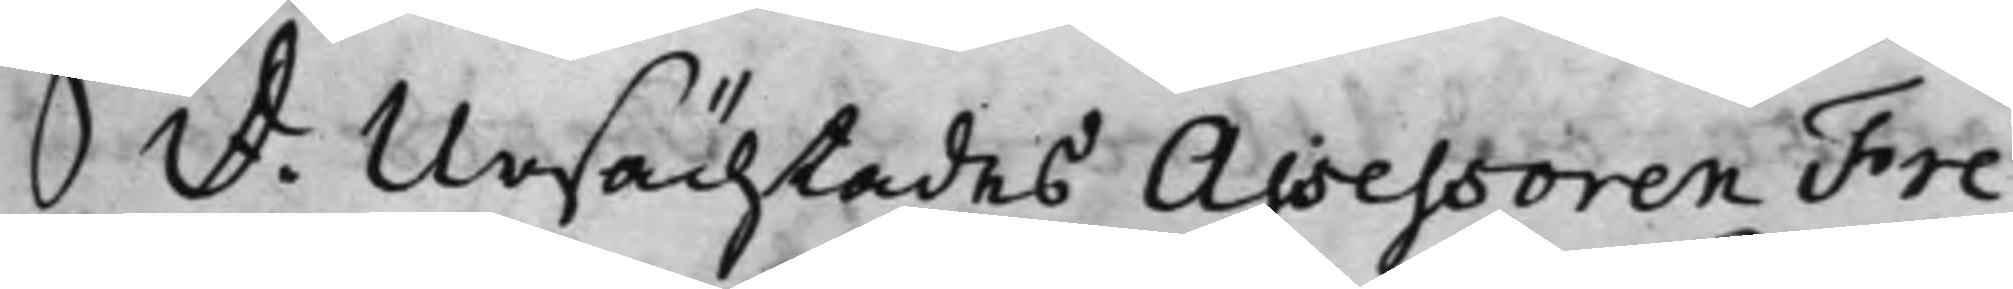S: D: Ursächtades Assessoren Fre¬
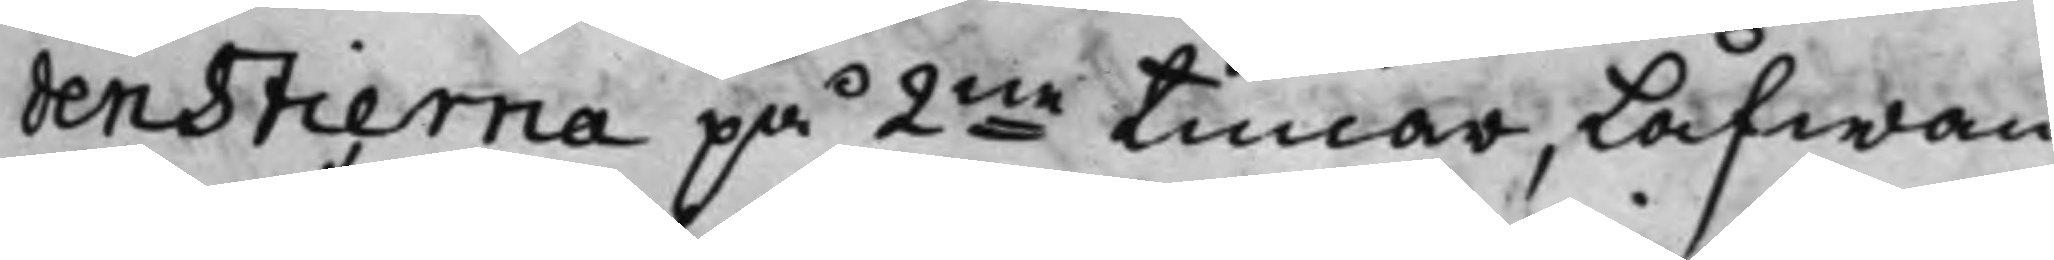denstierna på 2ne timar, låfwan¬
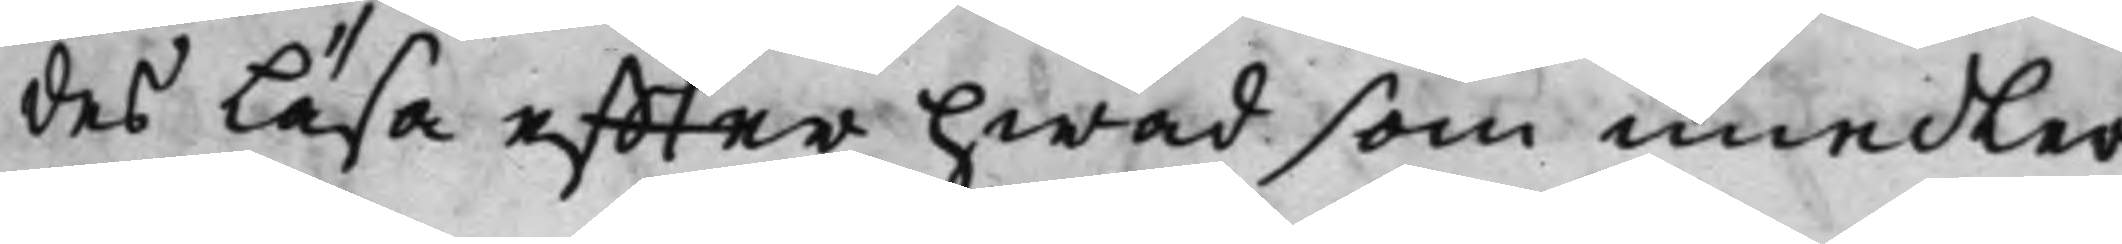des Läsa effter hwad som imedler¬
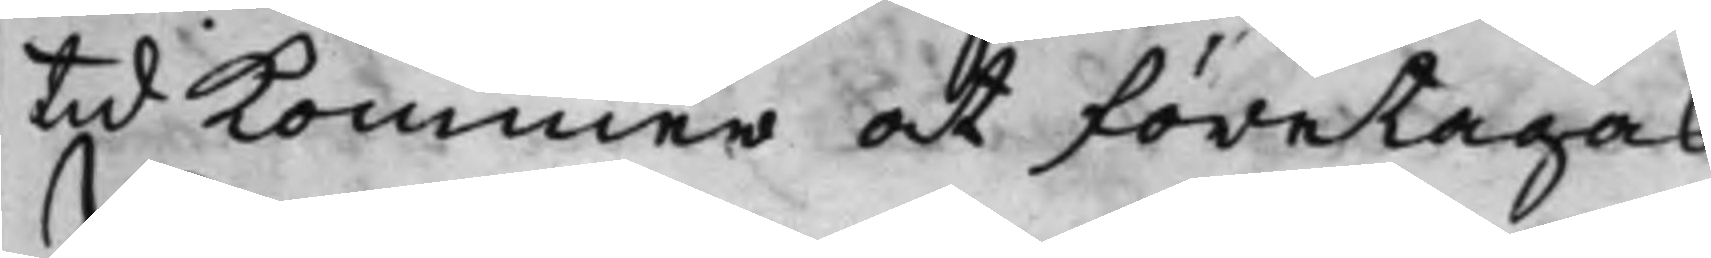tid kommer at företagas
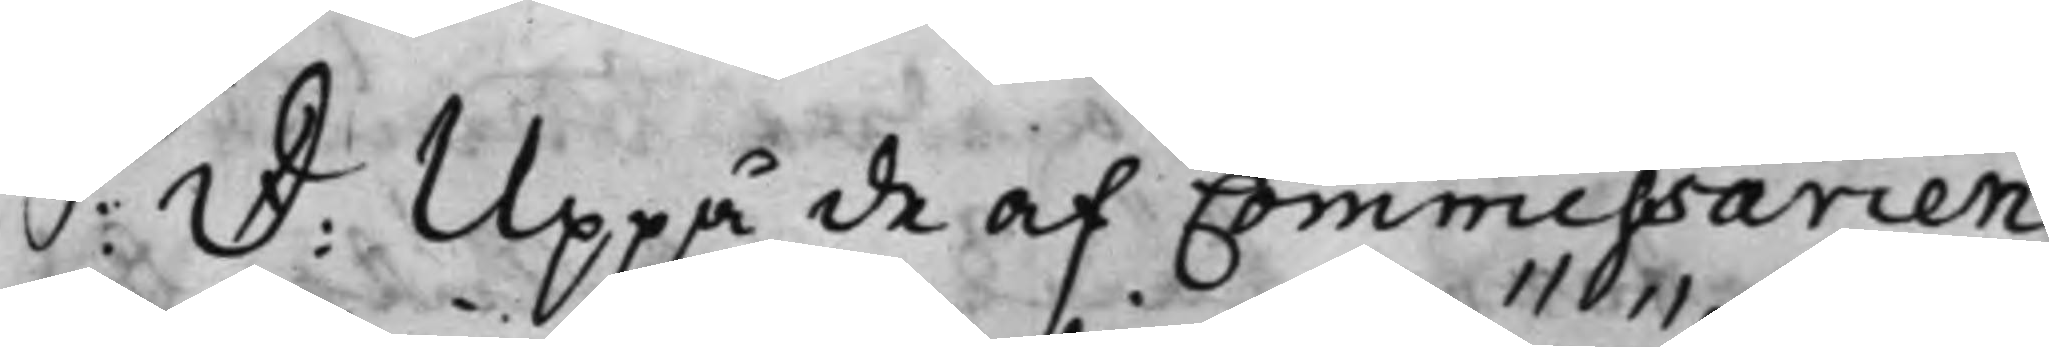S: D: Uppå de af Commissarien
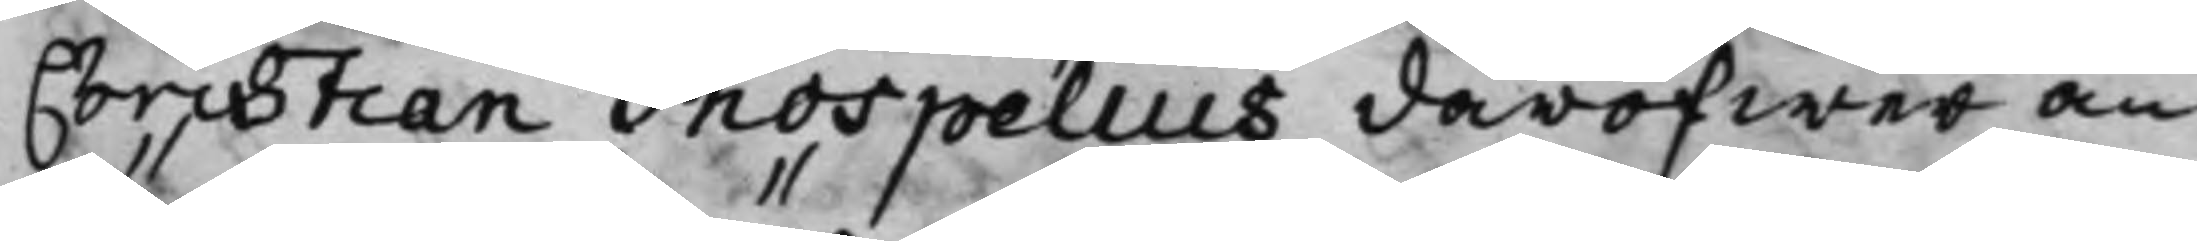Christian Gnospelius däröfwer an¬
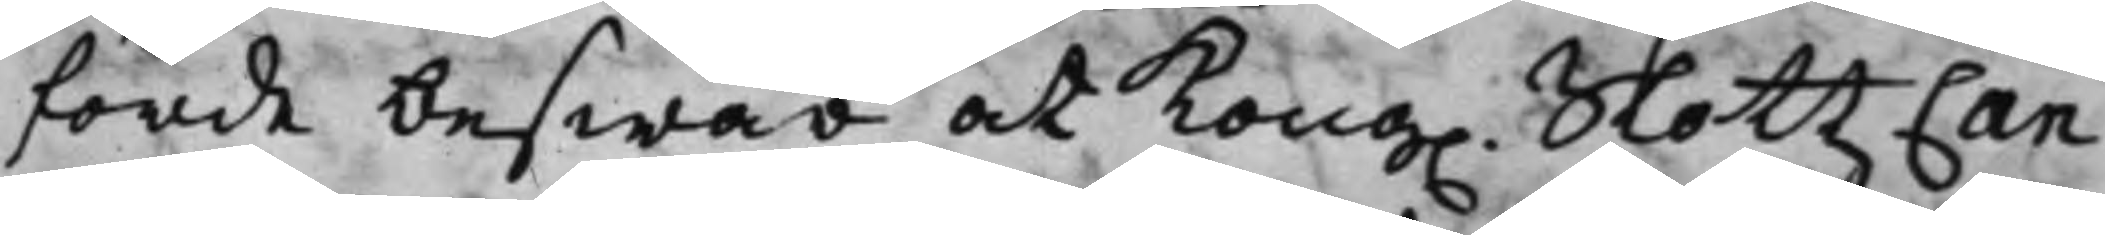förde beswär at Kong. SlottzCan¬
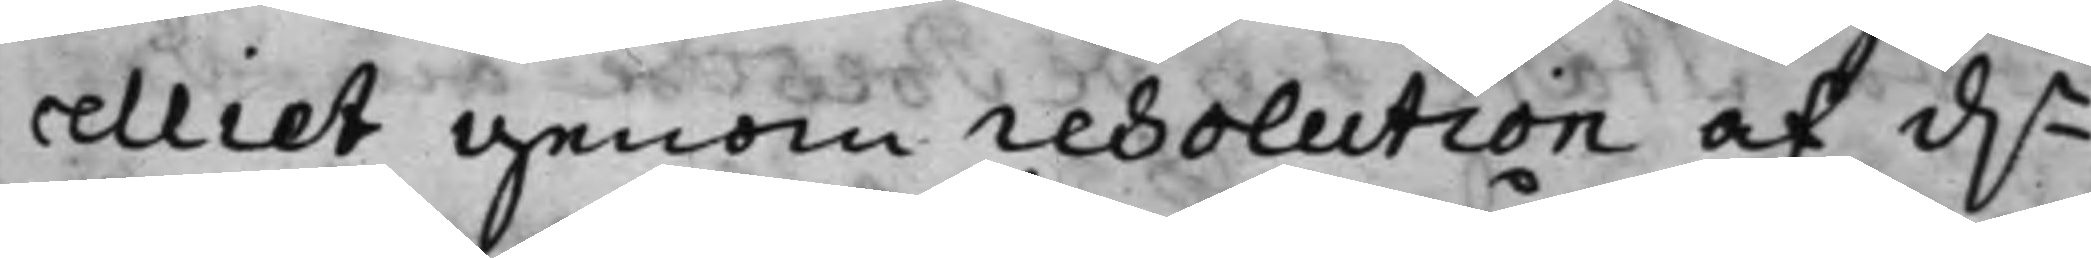celliet genom resolution af d.n
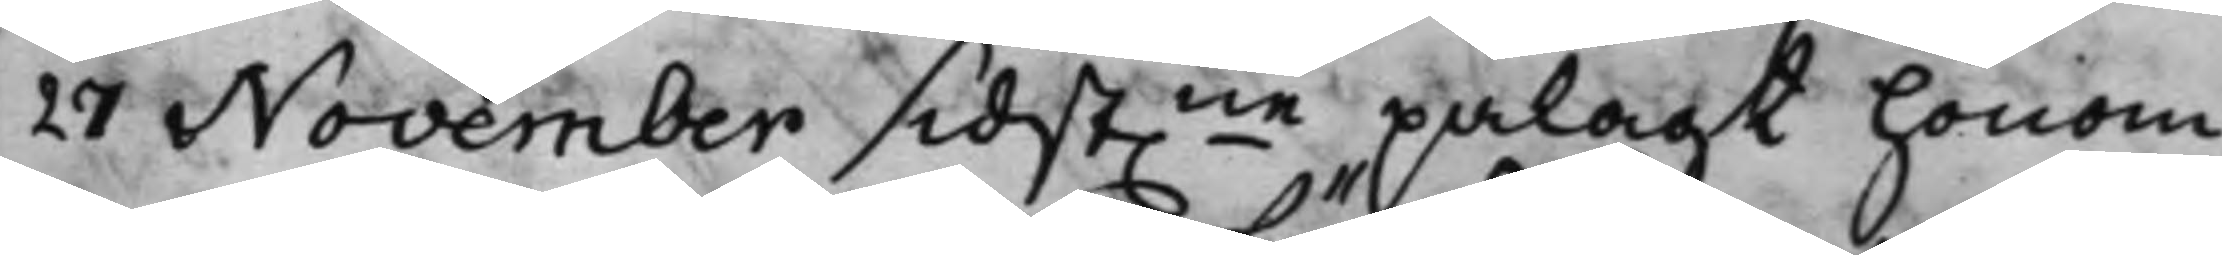27 November sidst.ne pålagt honom
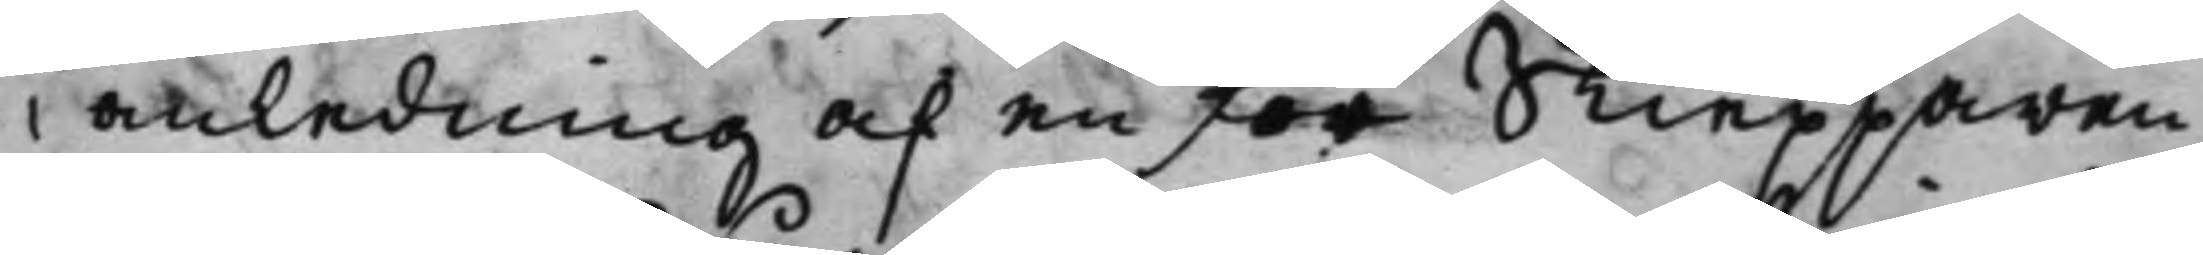i anledning af en för Skiepparen
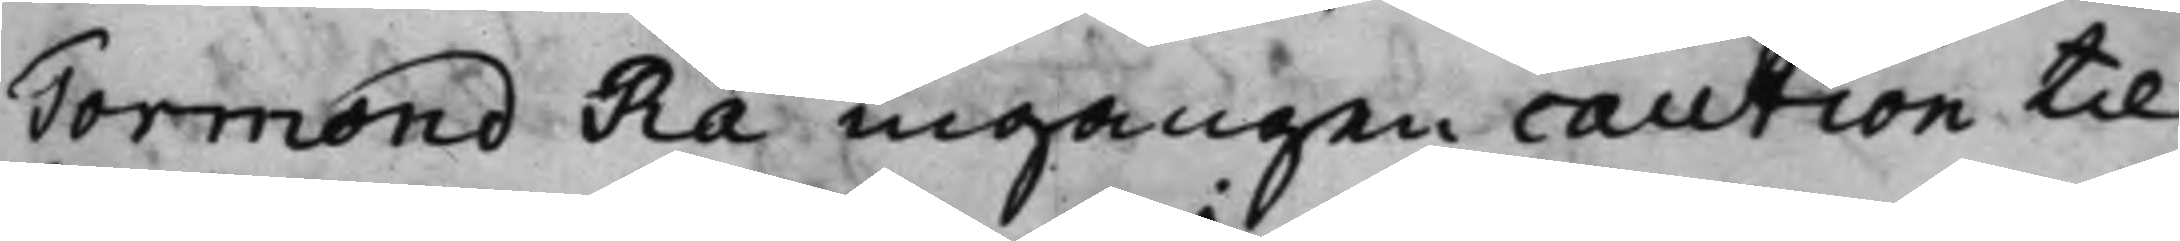Tormond Rå ingången caution til
